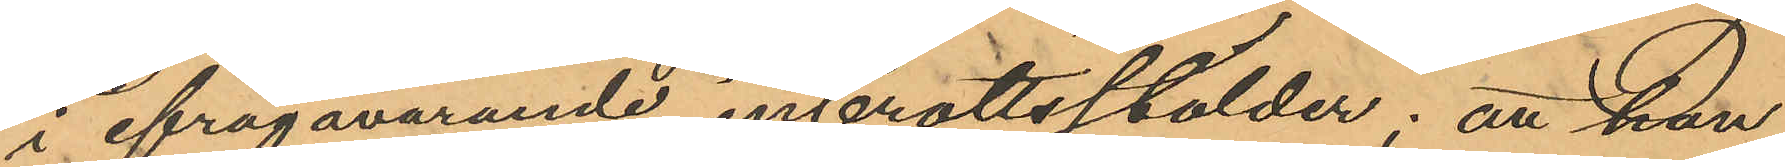i ifrågavarande inbrottsstölder; att han
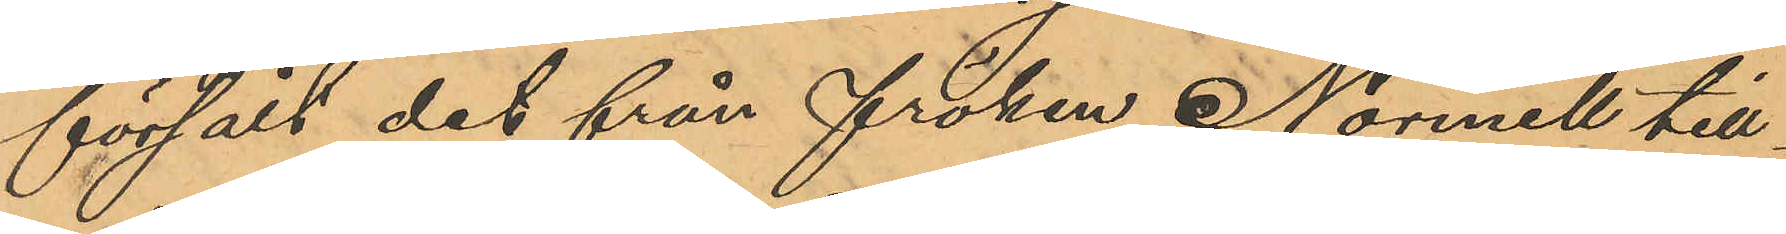försålt det från fröken Normell till¬
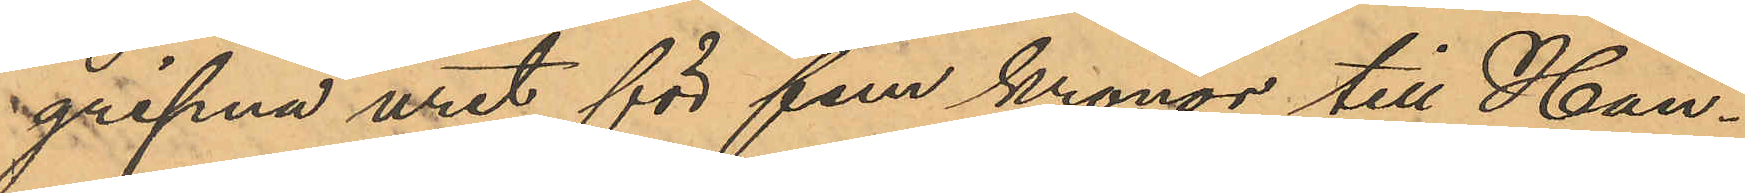gripna uret för fem kronor till Han¬
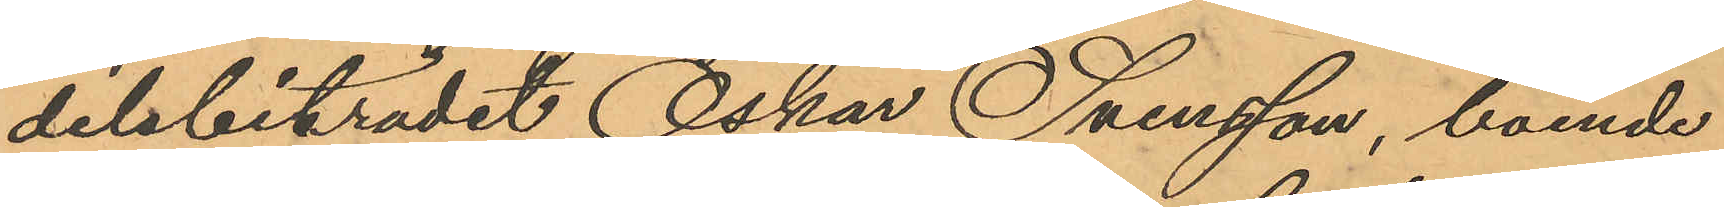delsbiträdet Oskar Svensson, boende
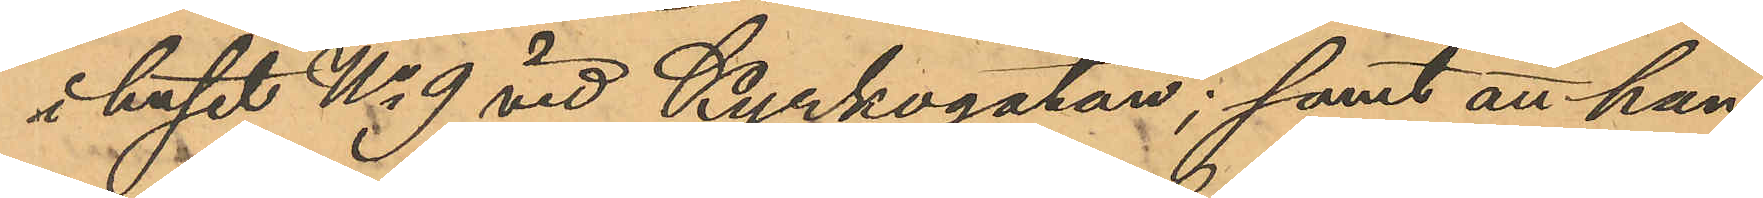i huset No 9 vid Kyrkogatan; samt att han
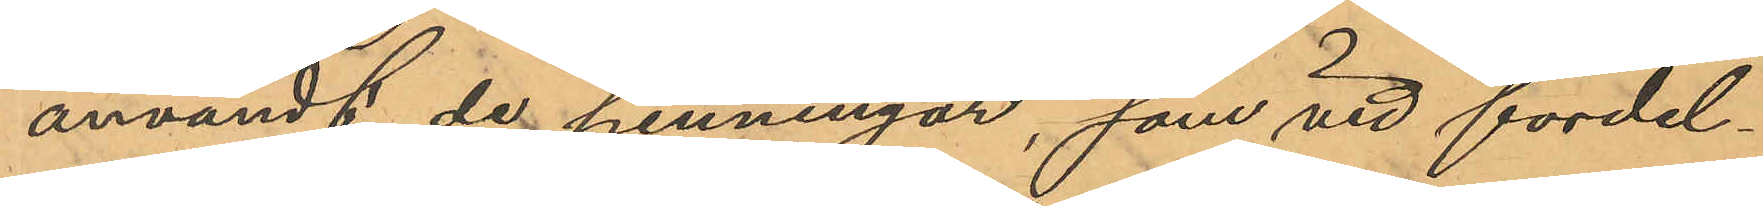användt de penningar, som vid fördel¬
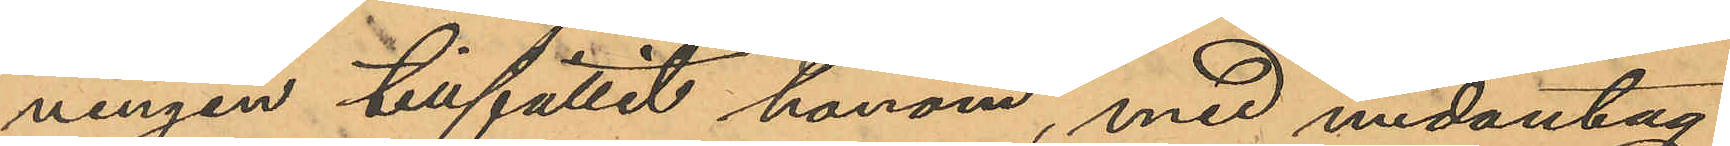ningen tillfallet honom, med undantag
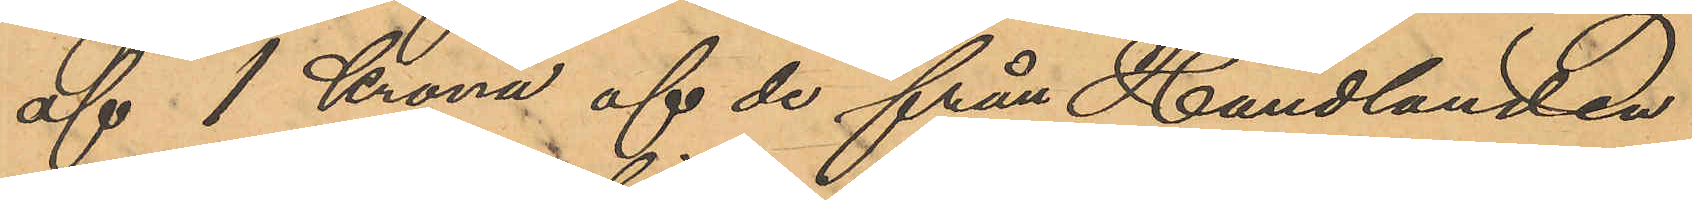af 1 Krona af de från Handlanden
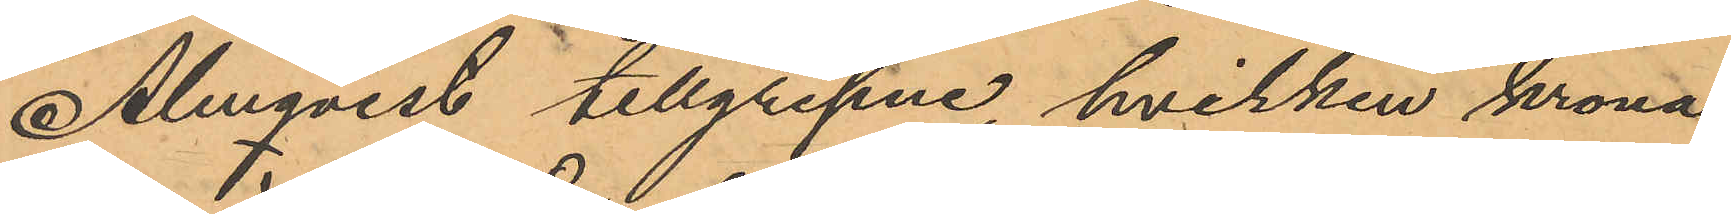Almqvist tillgripne, hvilken krona
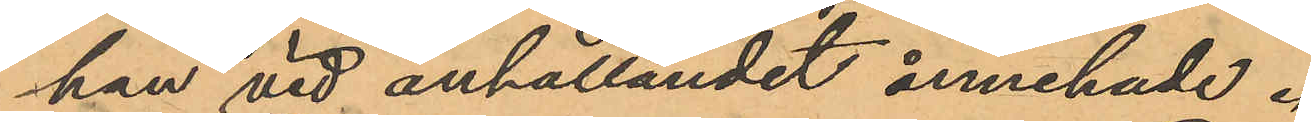han vid anhållandet innehade.
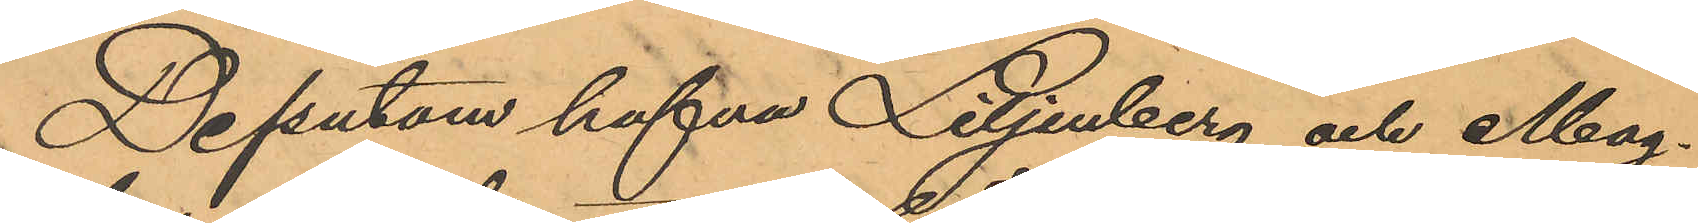Dessutom hafva Liljenberg och Mag¬
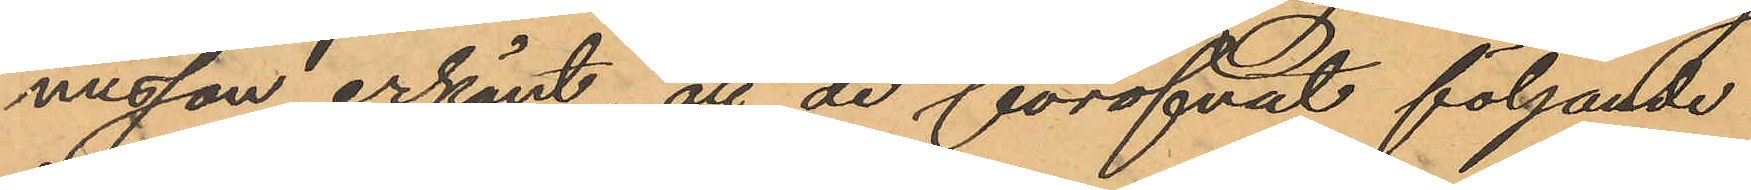nusson erkänt, att de föröfvat följande
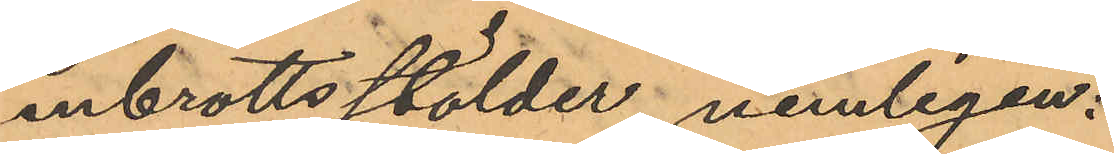inbrottsstölder, nemligen:
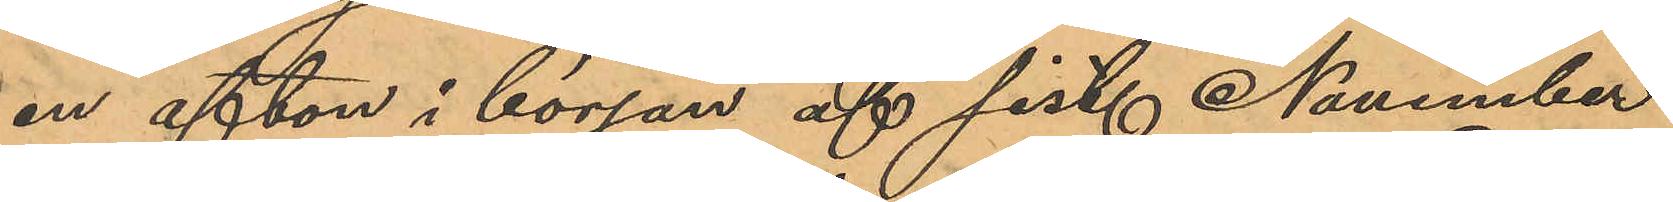en afton i början af sist. November
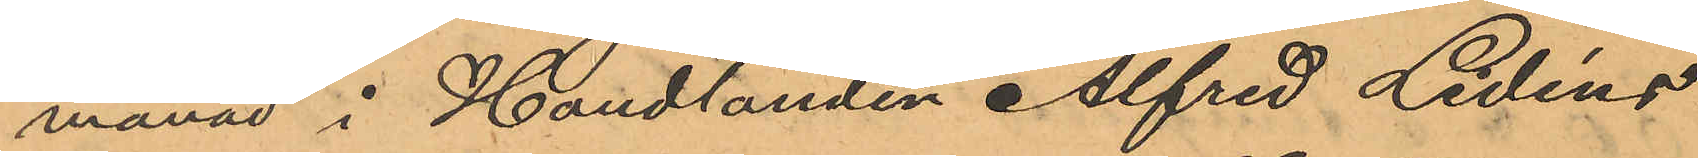månad i Handlanden Alfred Lidéns
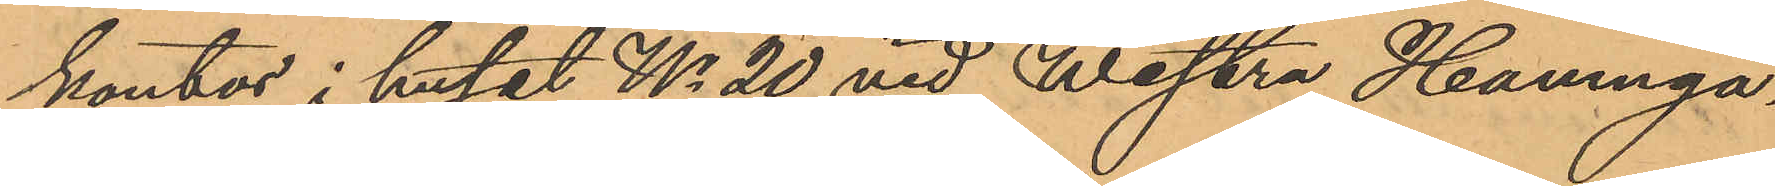kontor i huset No 20 vid Westra Hamnga¬
